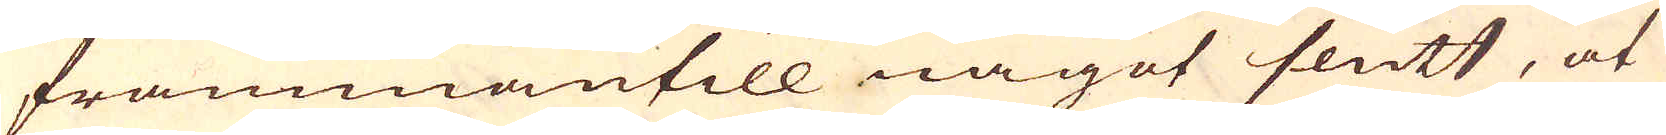frammanfill något slätt, at
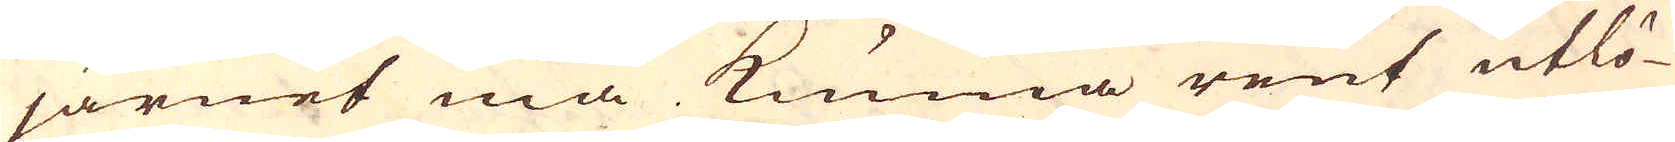järnet må kunna rent utlö-
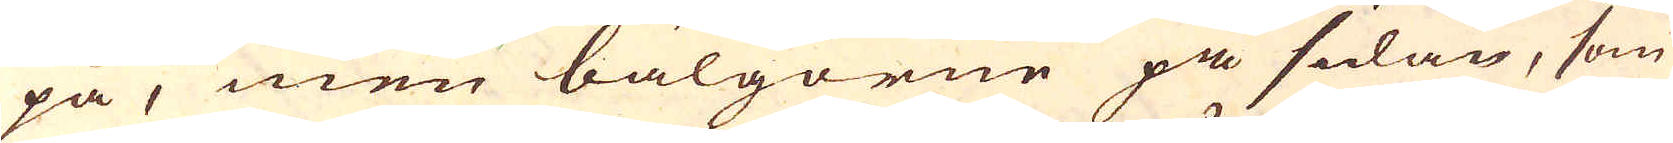pa, men bälgorne på sidan, som
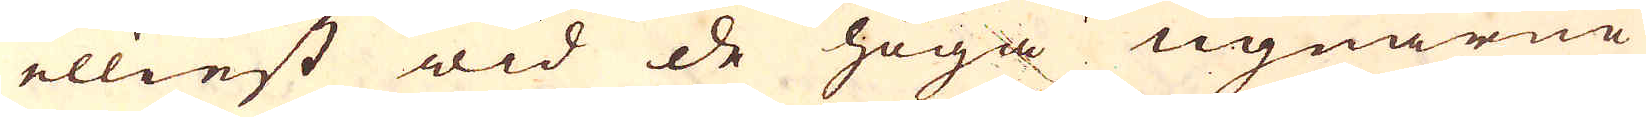ellinst wid de höga ugnarne
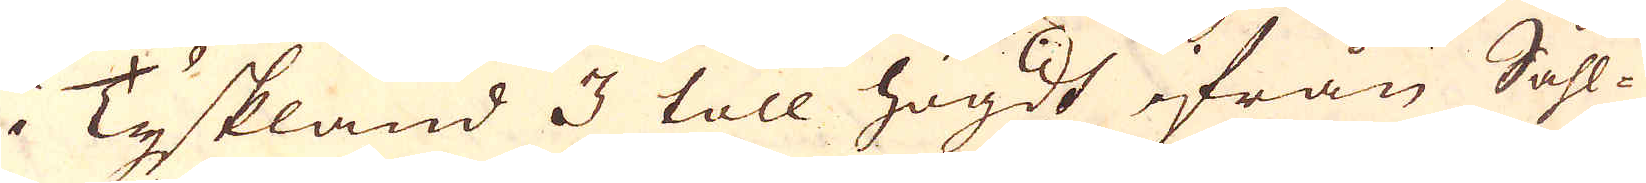i Tyskland 3 toll högdt ifrån Såhl-
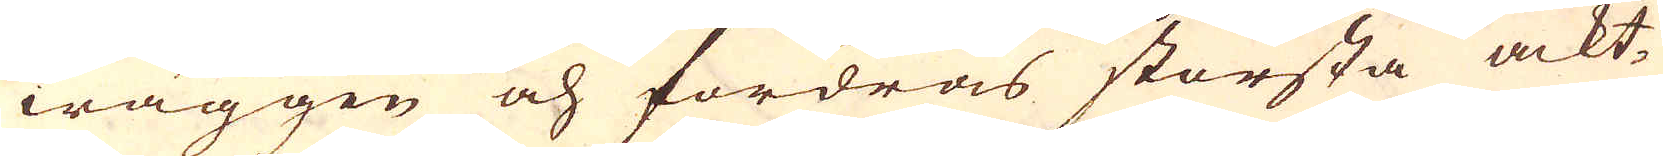wäggen och fordras största ackt-
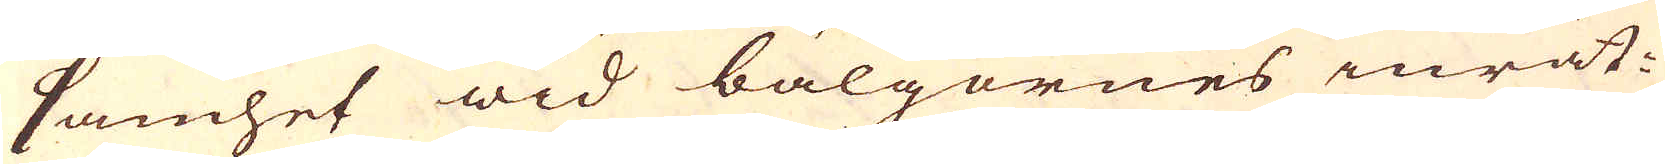samhet wid bälgornes inrät-
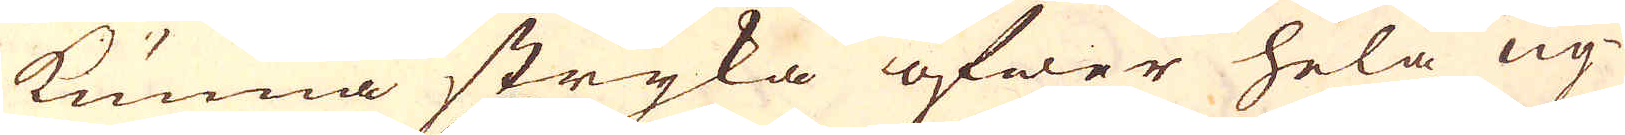kunna stryka öfwer hela ug-
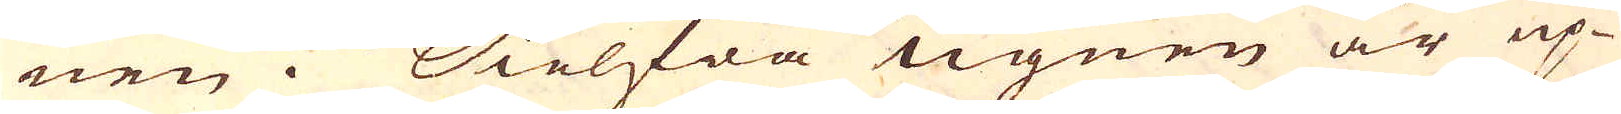nen. Sielfwa ugnen är up-
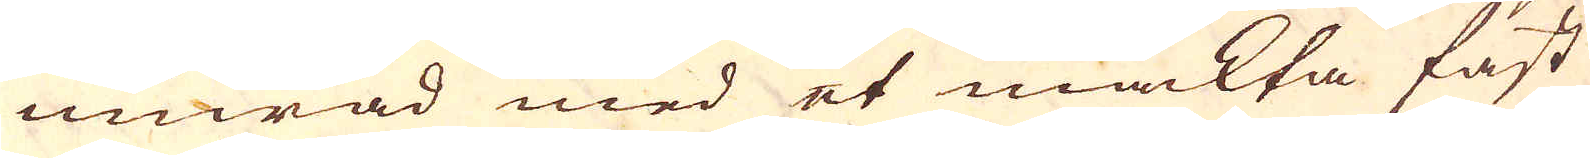murad med et mäckta fast
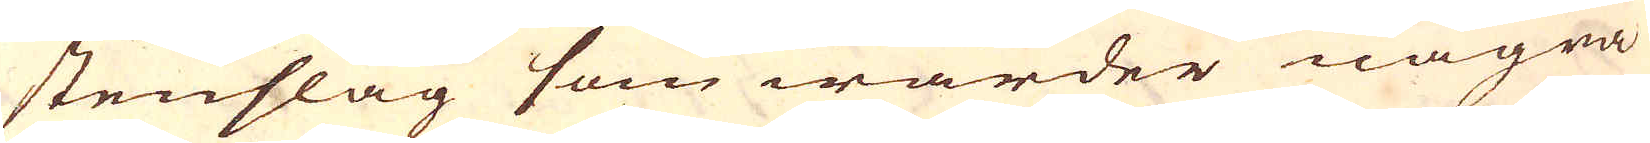stenslag som warder några
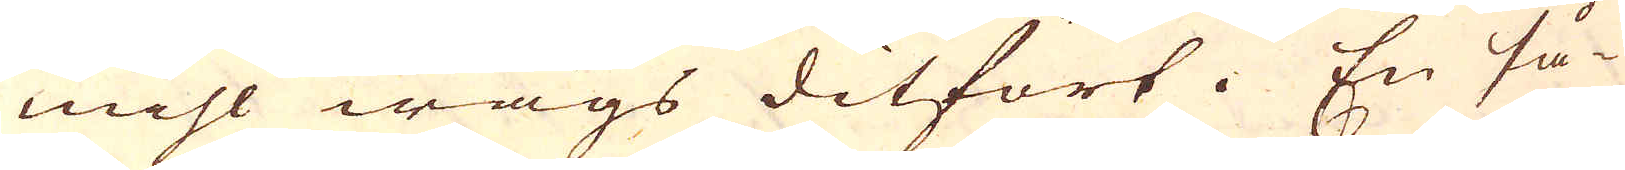mihl wägs ditfört. En så-
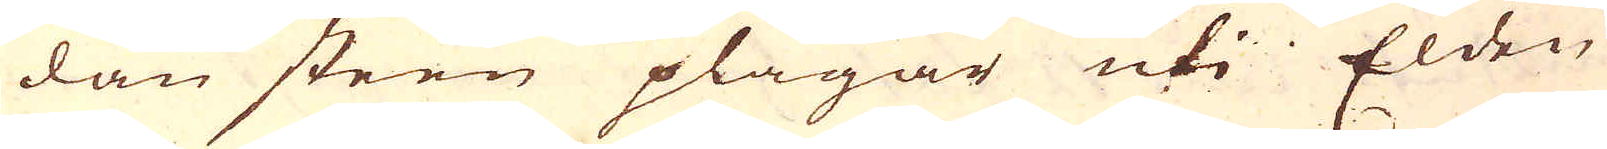dan steen plägar uti Elden
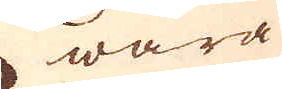wara
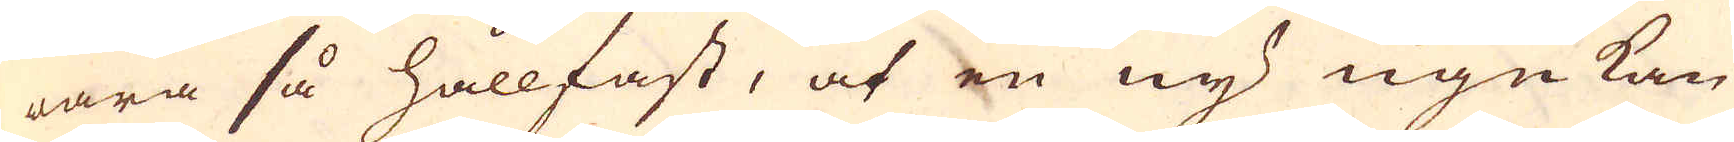wara så hållfast, at en ny ugn kan
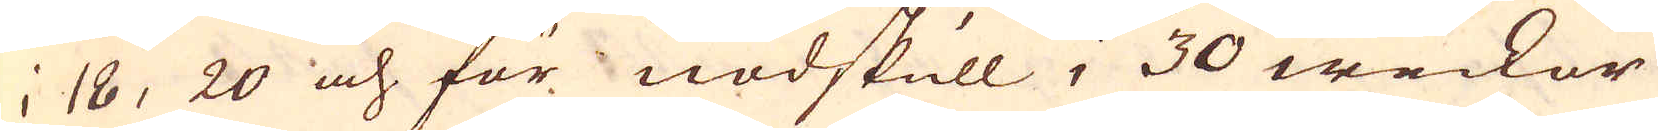i 18, 20 och för nödskull, 30 weckor
